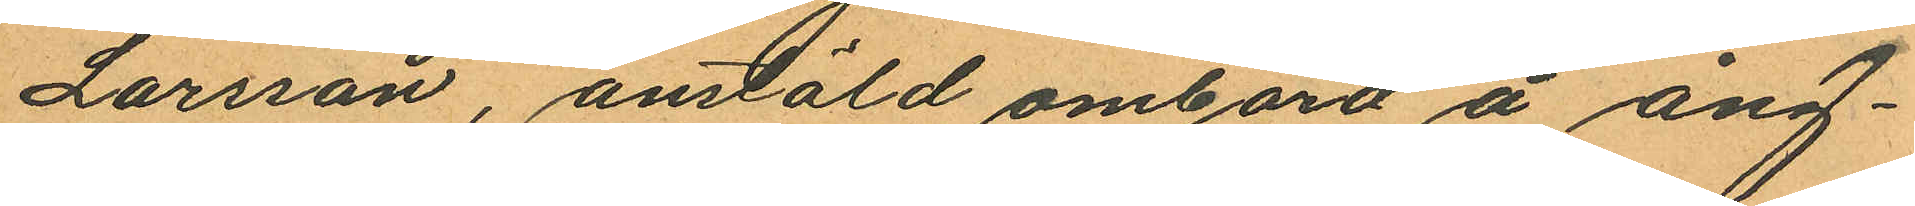Larsson, anstäld ombord å ång¬
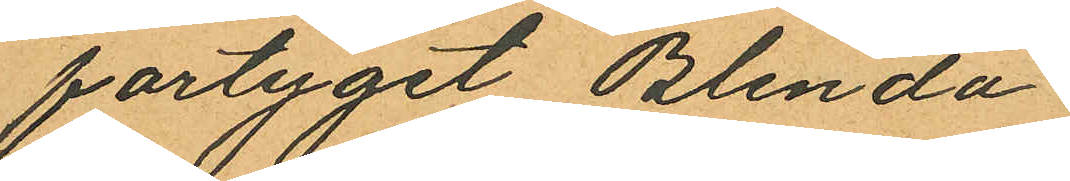fartyget Blenda
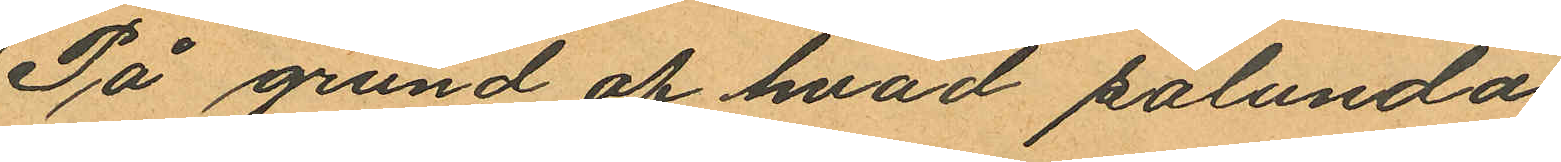På grund af hvad sålunda
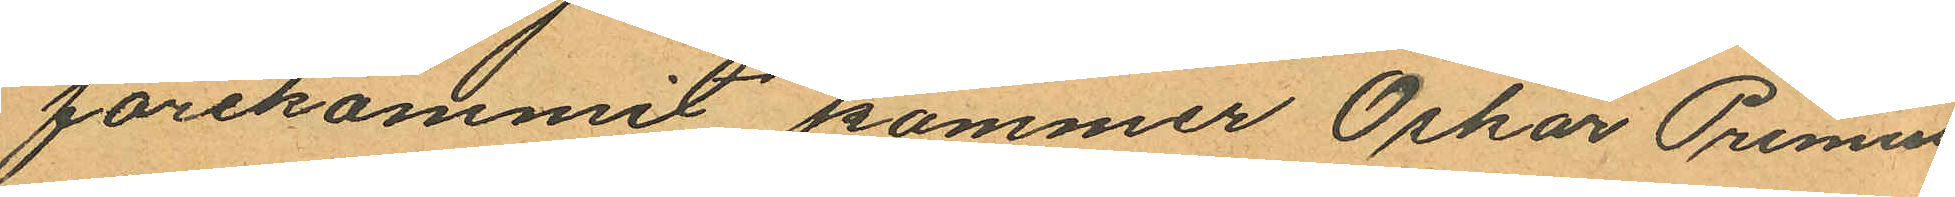förekommit kommer Oskar Primus
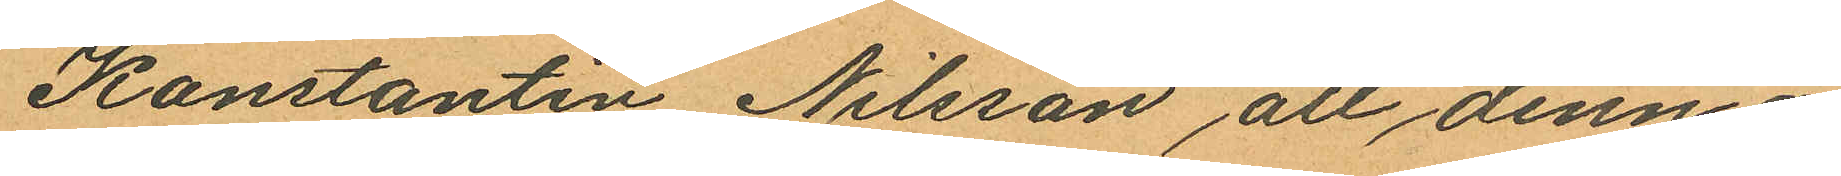Konstantin Nilsson att denna
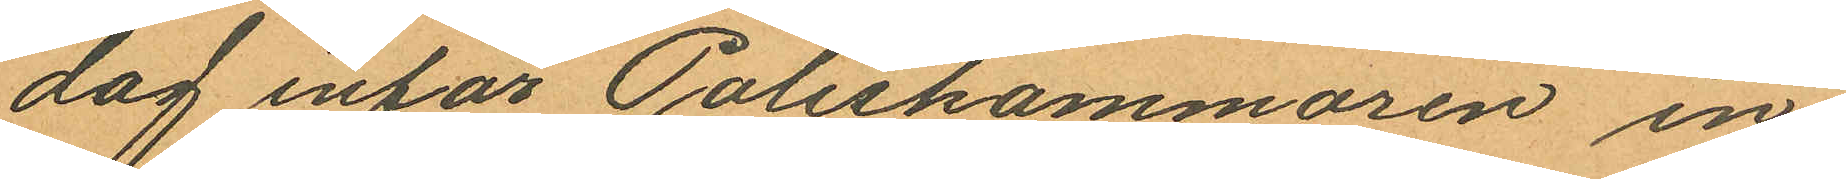dag inför Poliskammaren in¬
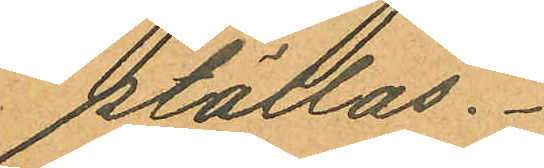ställas.
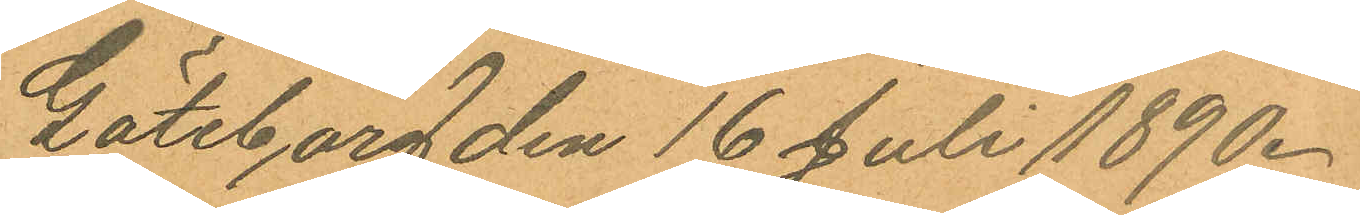Göteborg den 16 Juli 1890.
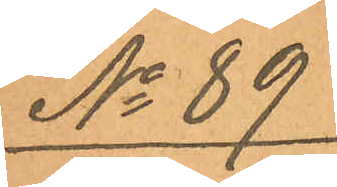No 89
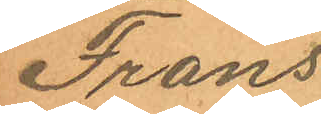Frans
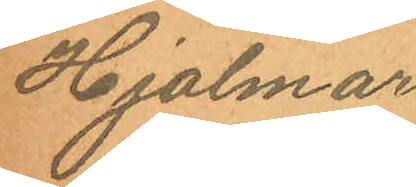Hjalmar
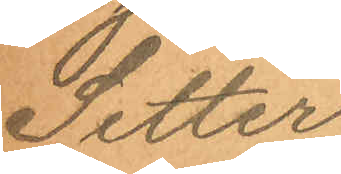Setter¬
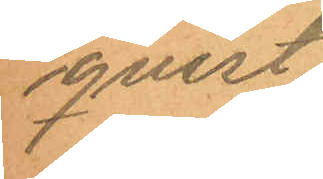qvist
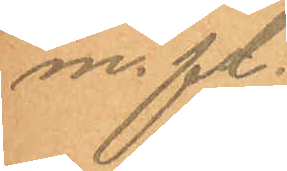m.fl.
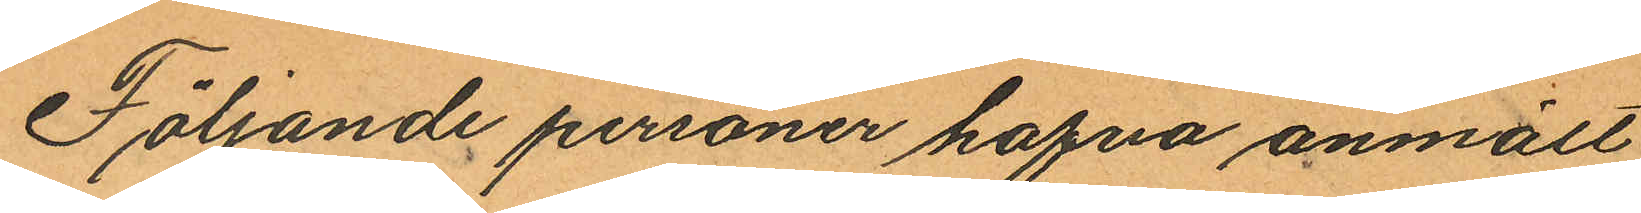Följande personer hafva anmält
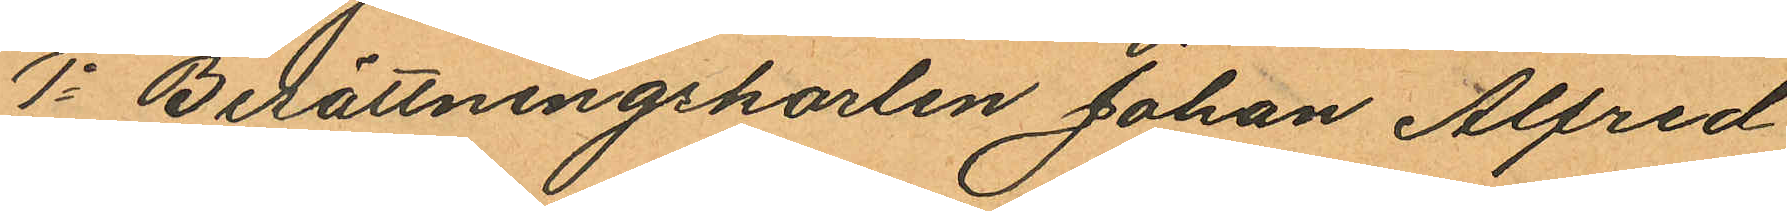1o Besättningskarlen Johan Alfred
